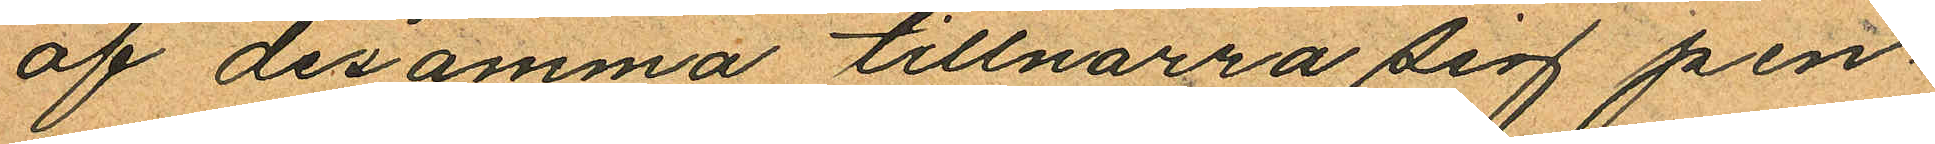af desamma tillnarra sig pen¬
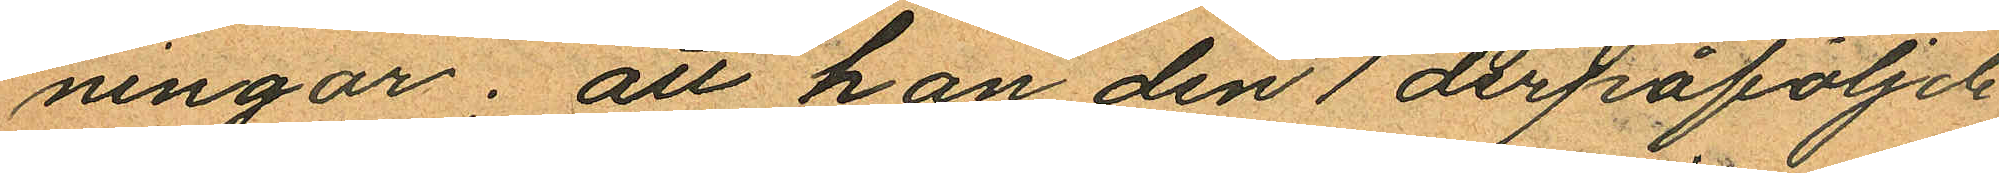ningar; att han den 1 derpåföljde
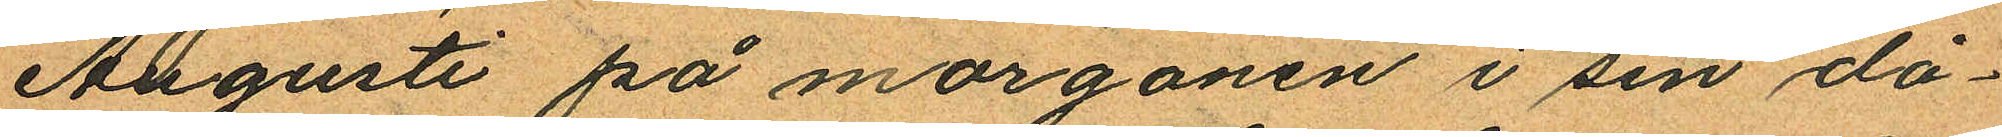Augusti på morgonen i sin då¬
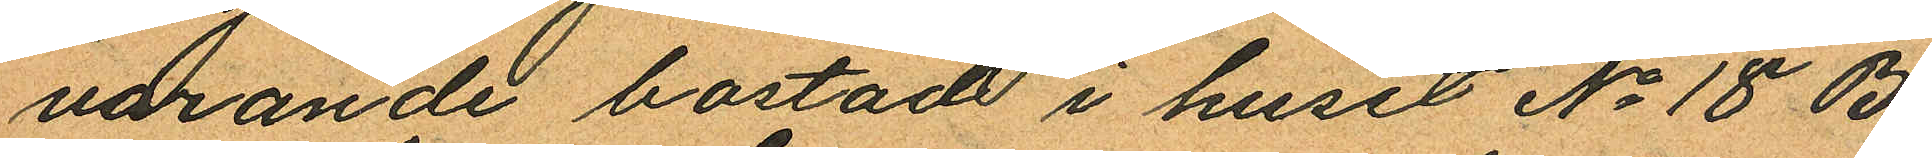varande bostad i huset No 18 B
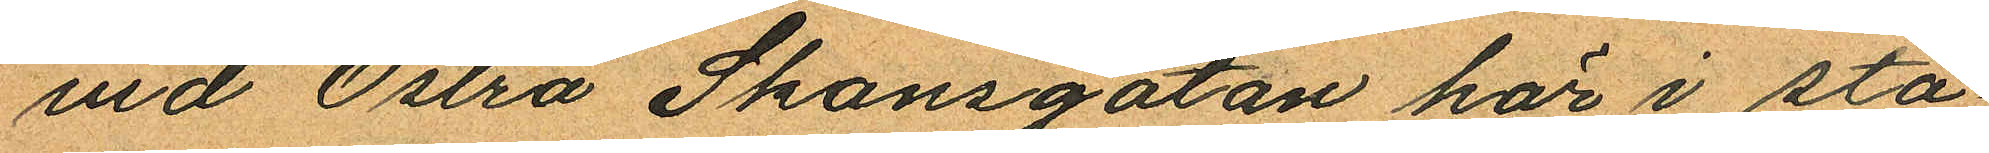vid Östra Skansgatan här i sta¬
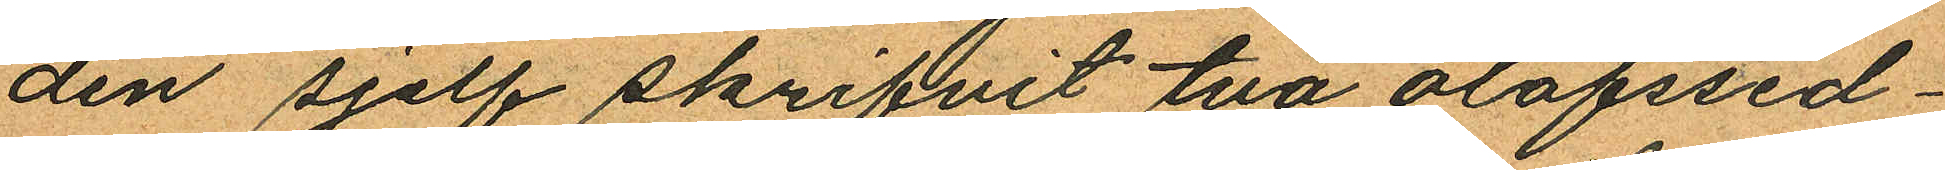den sjelf skrifvit två olofssed¬
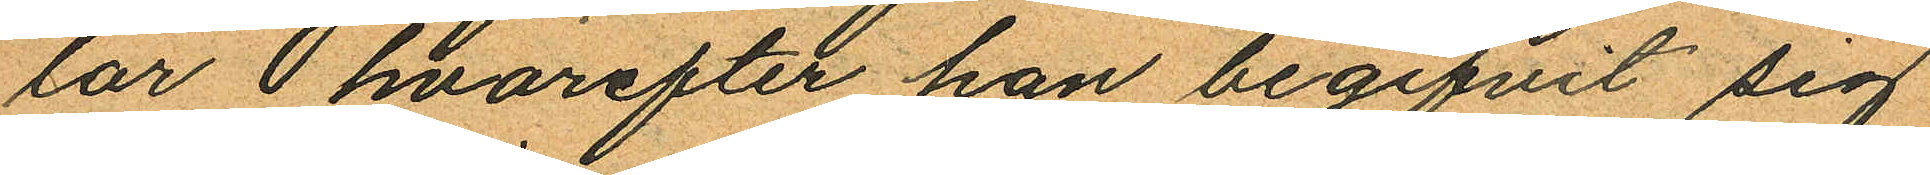lar hvarefter han begifvit sig
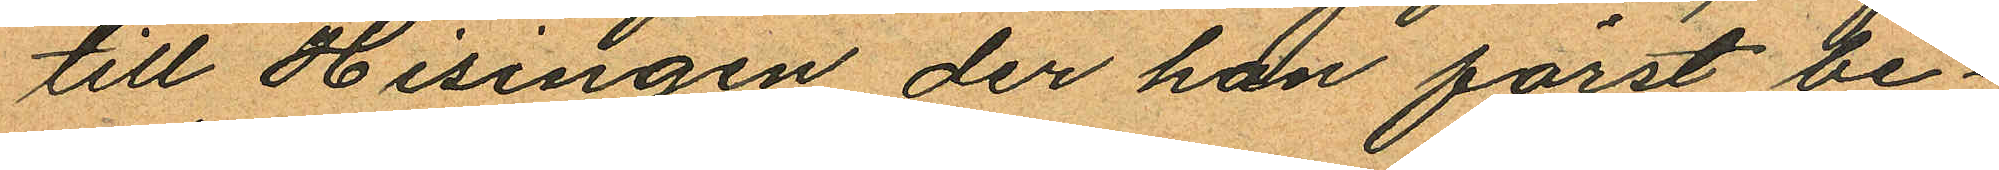till Hisingen der han först be¬
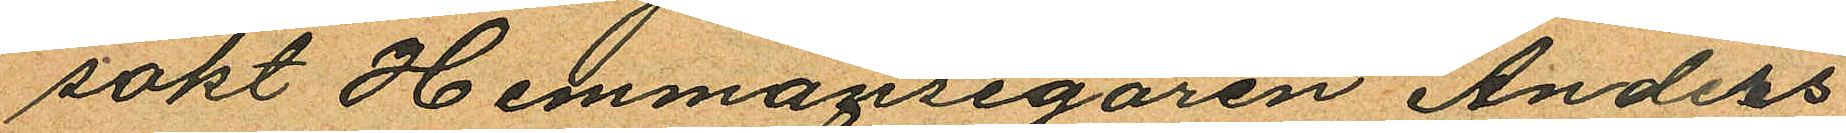sökt Hemmansegaren Anders
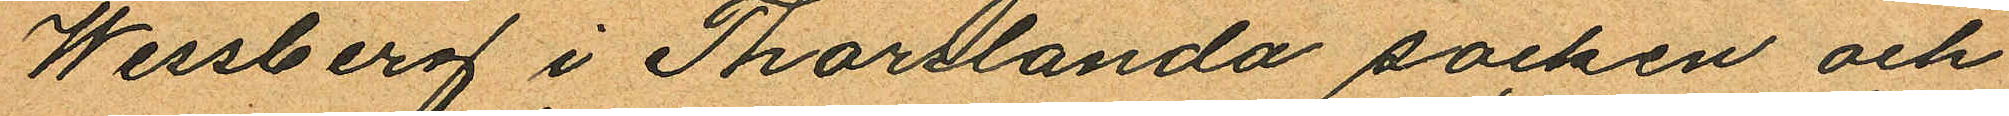Wessberg i Thorslanda socken och
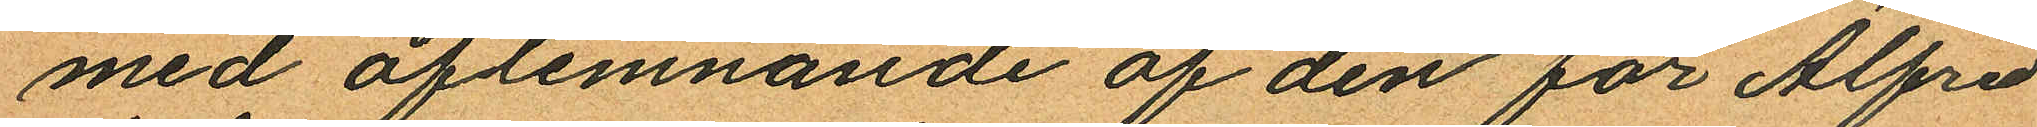med aflemnande af den för Alfred
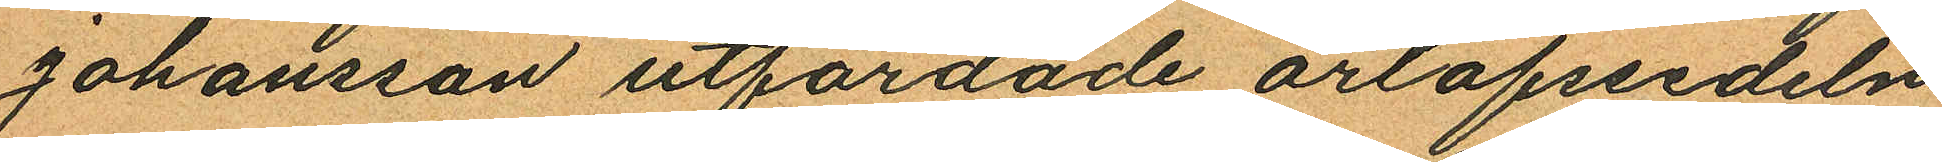Johansson utfärdade orlofssedeln
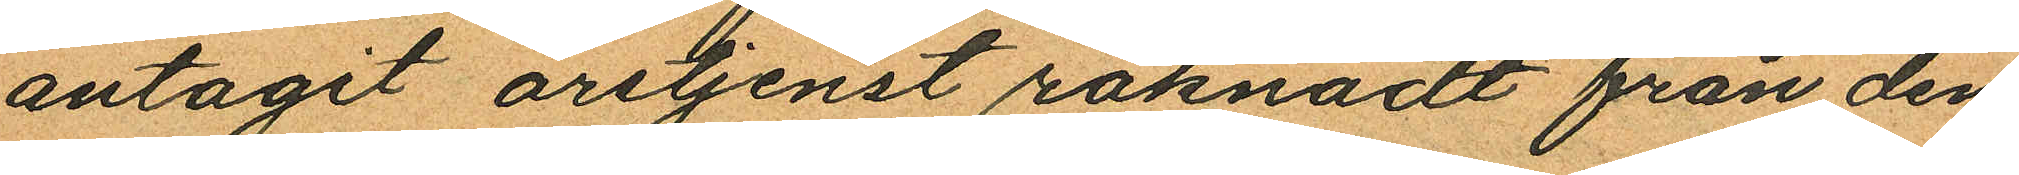antagit årstjenst räknadt från den
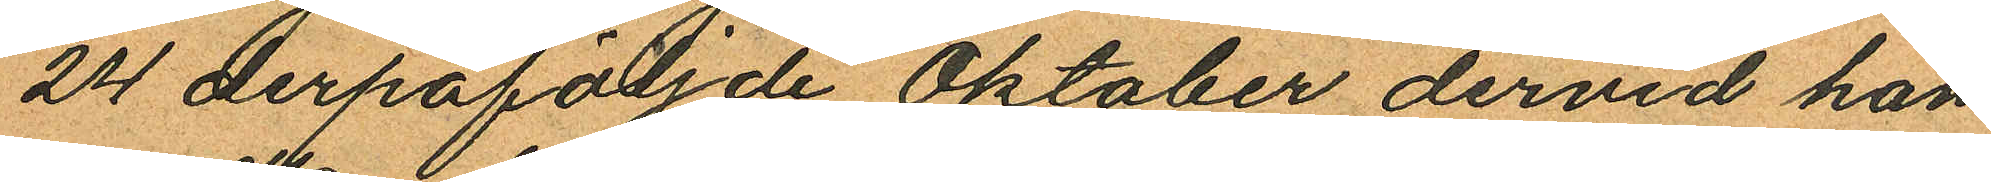24 derpåföljde Oktober dervid han
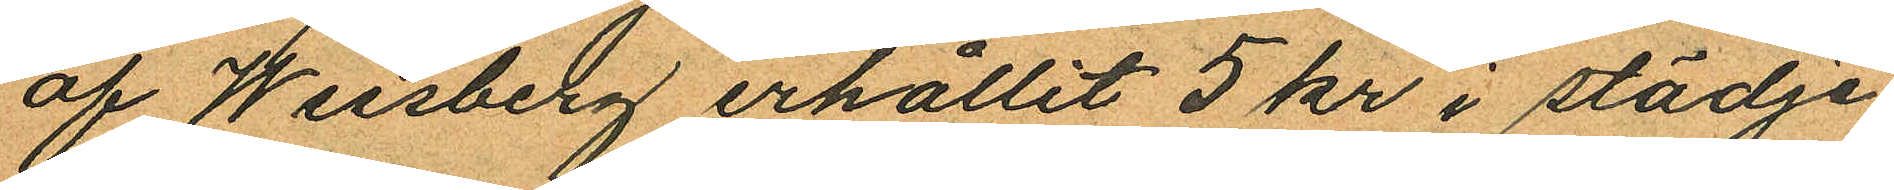af Wessberg erhållit 5 kr i stödje
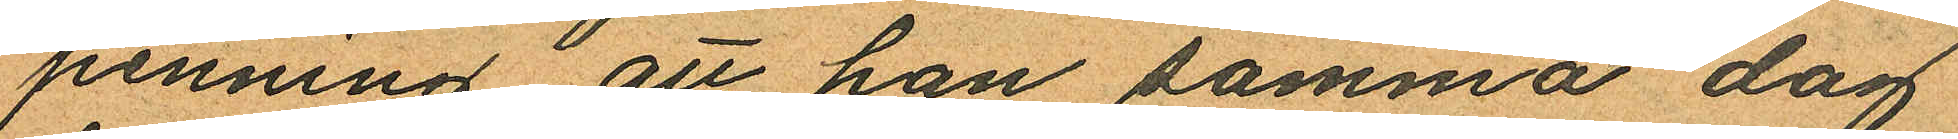penning att han samma dag
